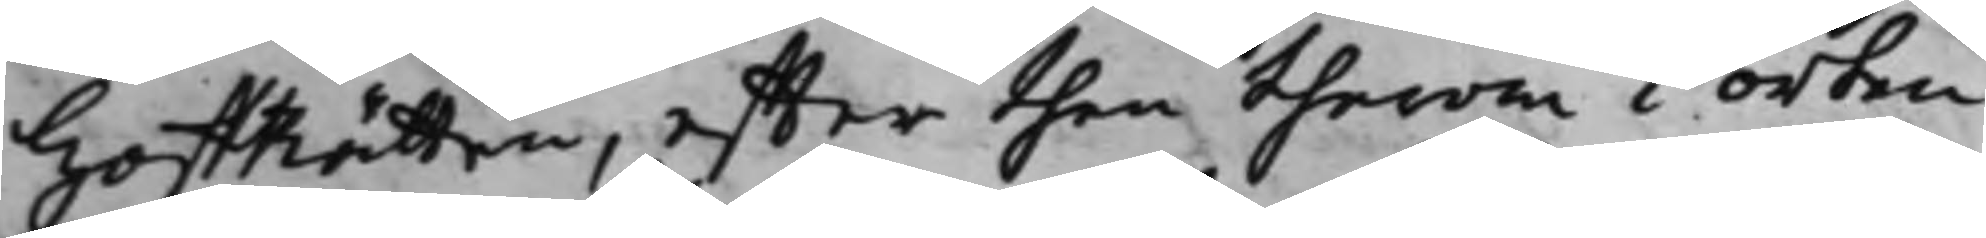HoffRätten, effter then therom i orten
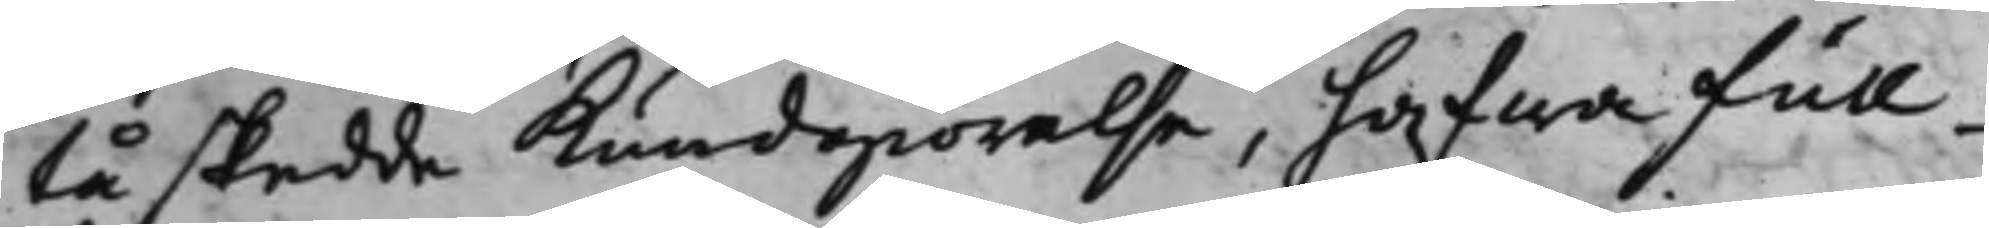tå skedde Kundgiörelse, hafwa full¬
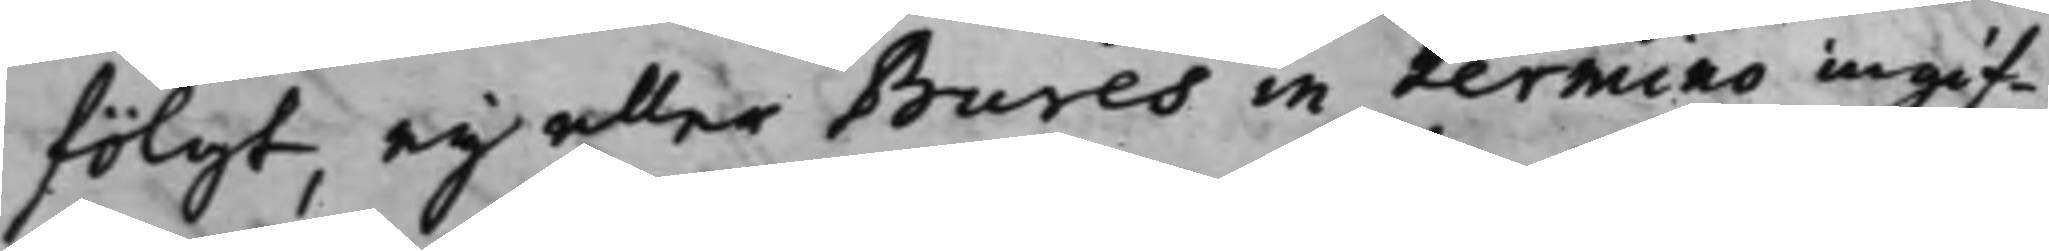fölgt, eij eller Bures in termino ingif¬
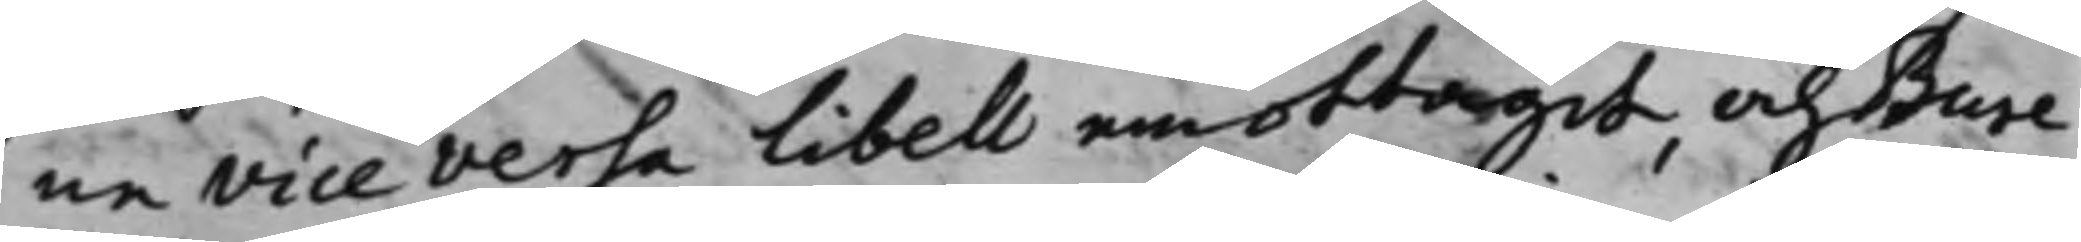ne vice versa Libell emottagit, och Bure
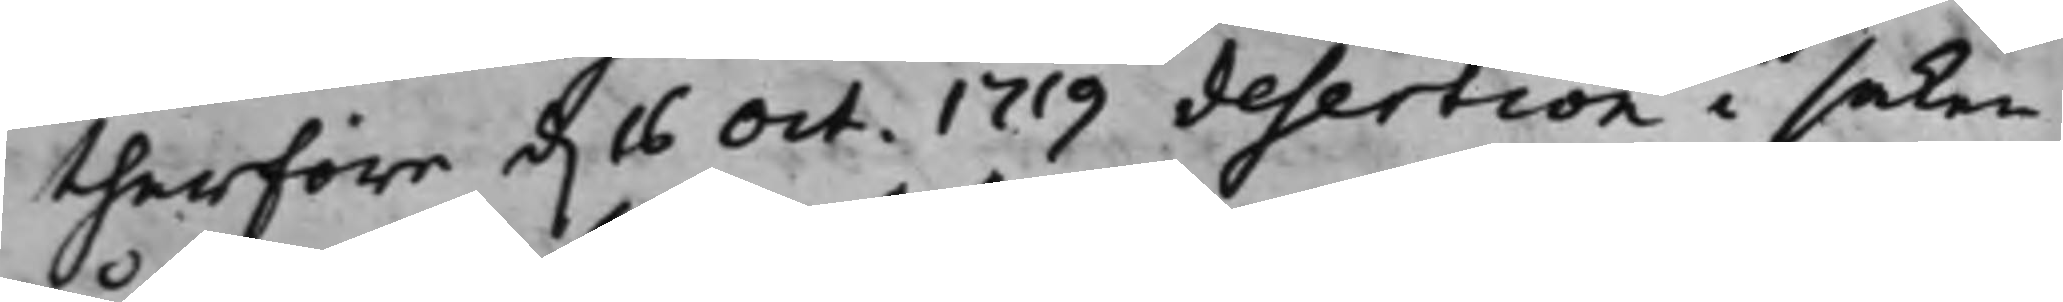therföre d. 16 Oct. 1719 desertion i saken
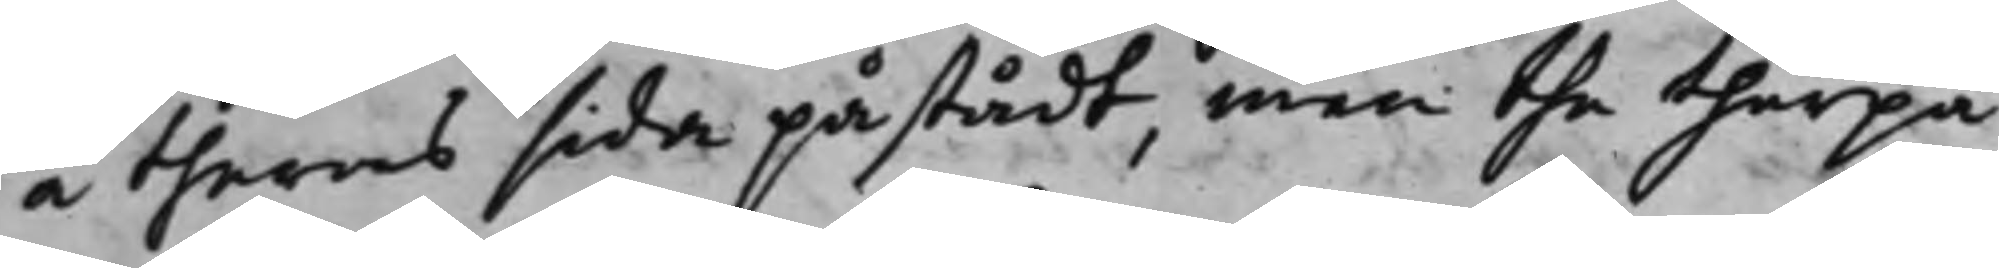å theras sida påstådt, men the therpå
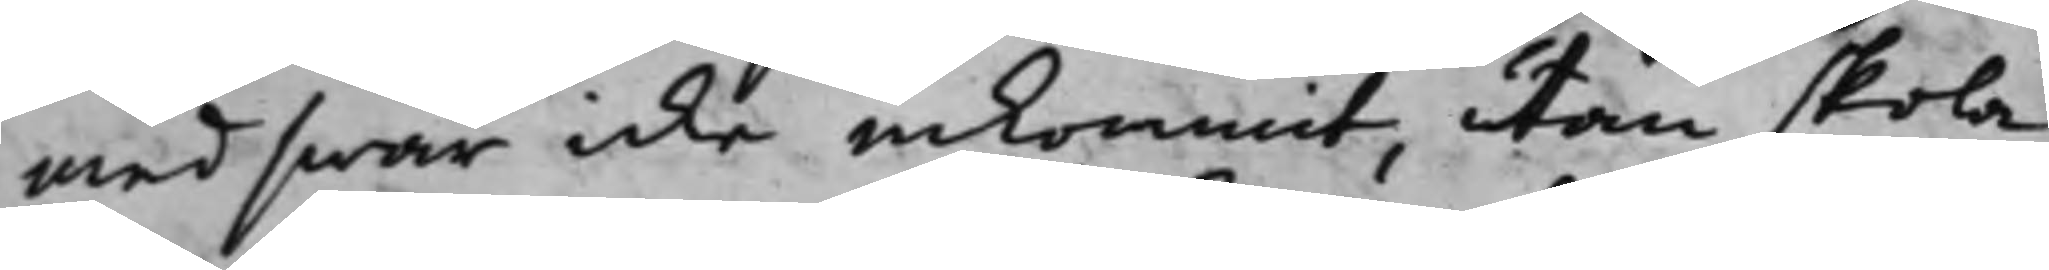med swar icke inkommit, utan skola
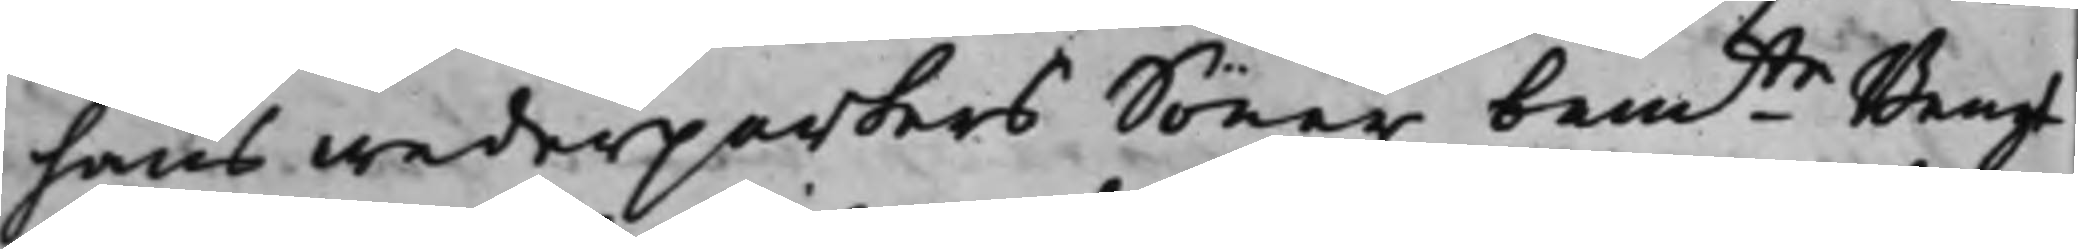hans wederparters Söner bemte Bengt
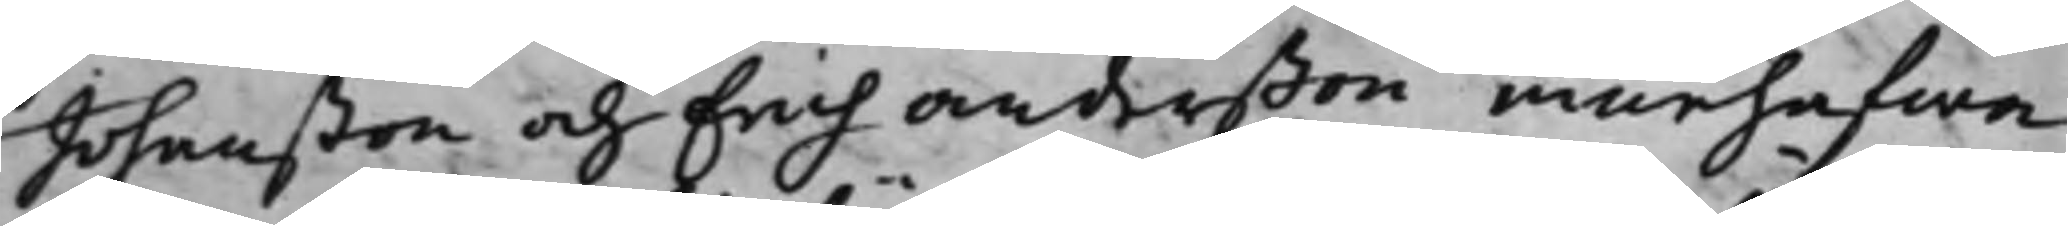Johanßon och Erich Anderßon innehafwa
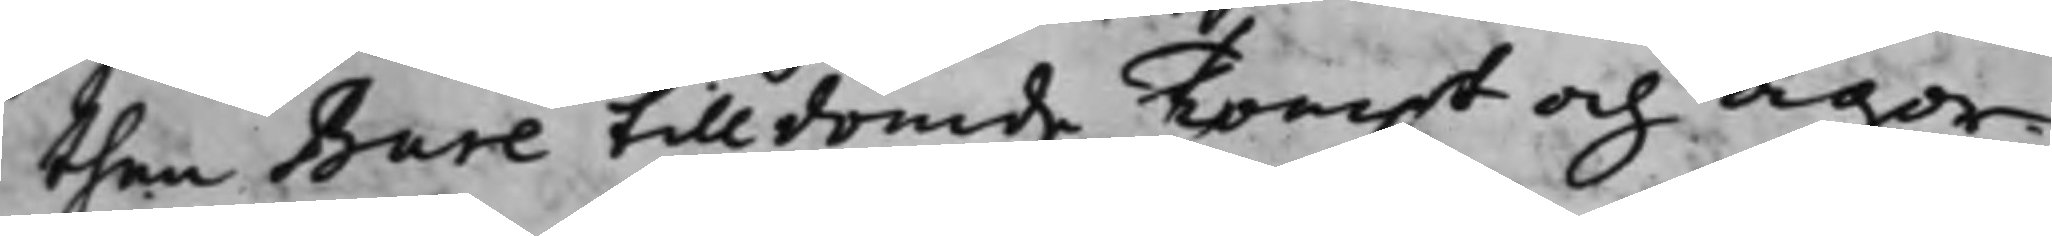then Bure tilldömde Tompt och ägor;
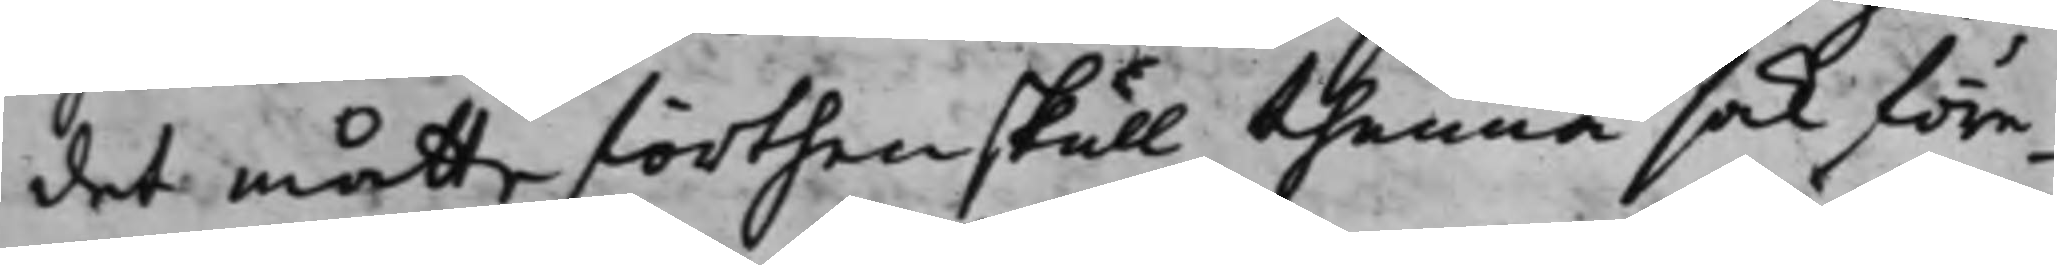det måtte förthenskull thenna sak före¬
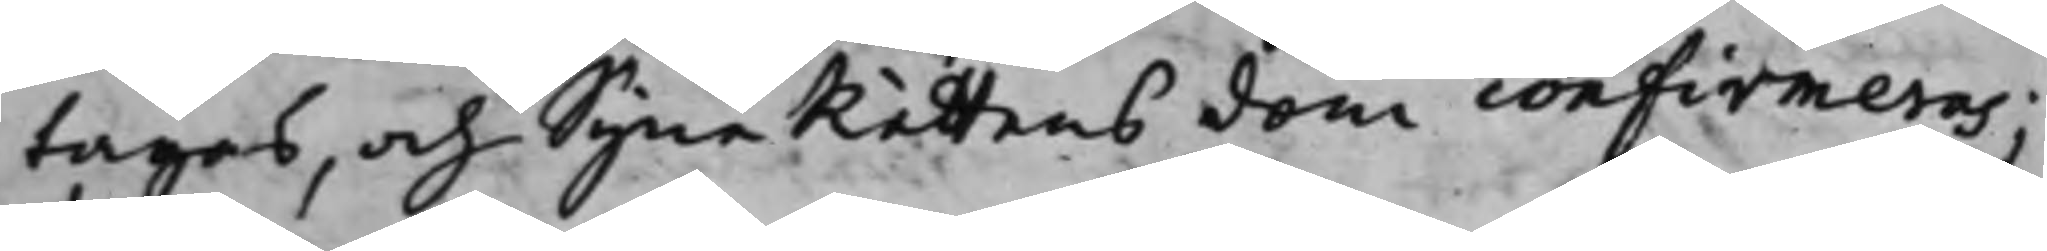tagas, och SyneRättens dom confirmeras;
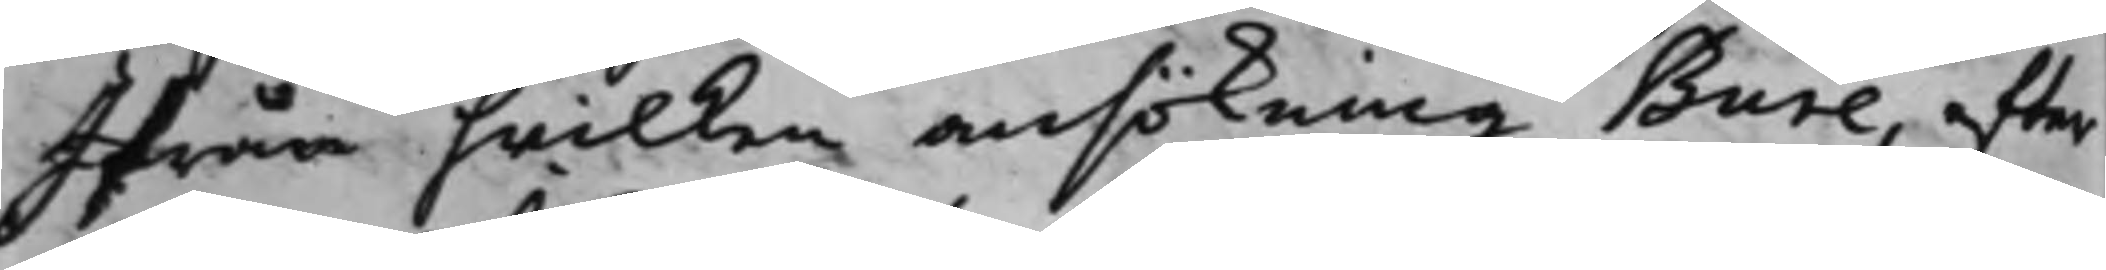Ifrån hwilken ansökning Bure, efter
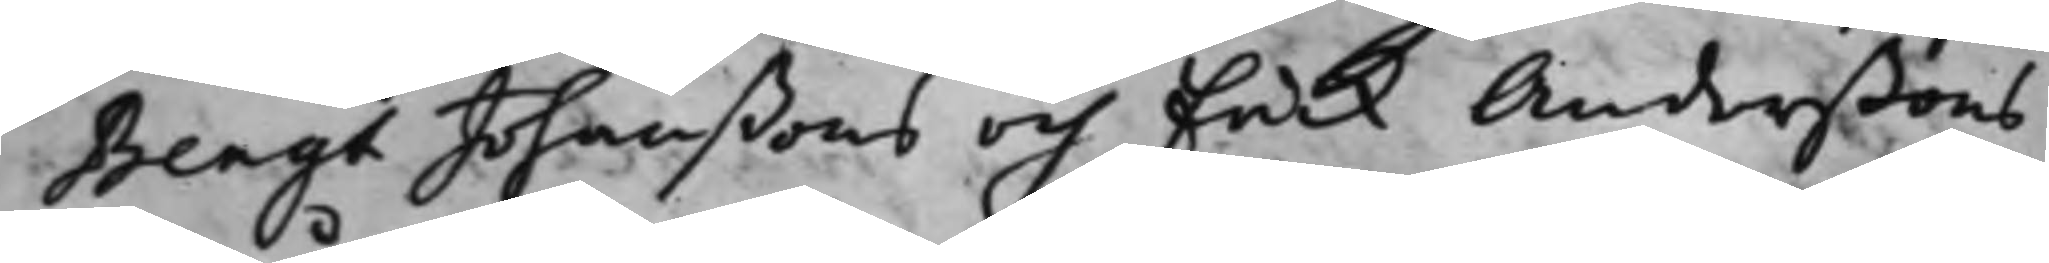Bengt Johanßons och Erick Anderßons
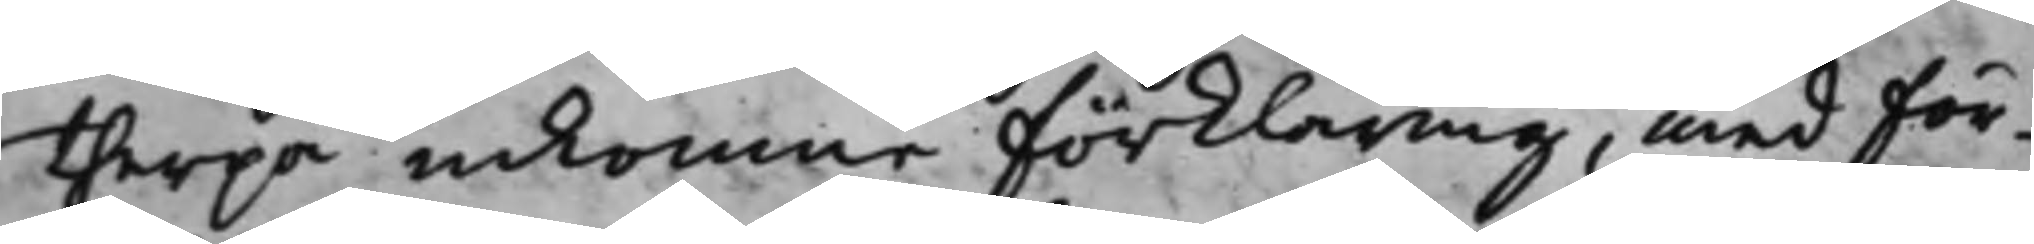therpå inkomne förklaring, med för¬
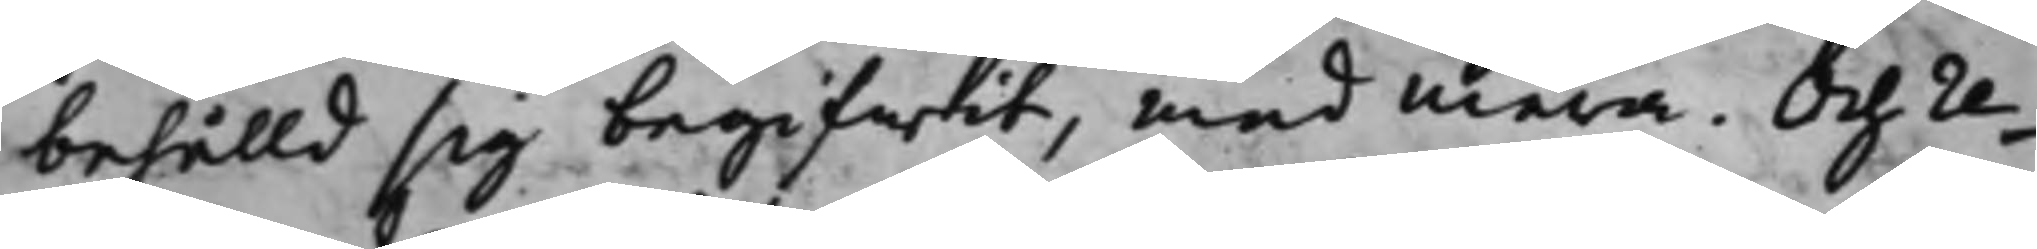behålld sig begifwit, med mera. Och re¬
